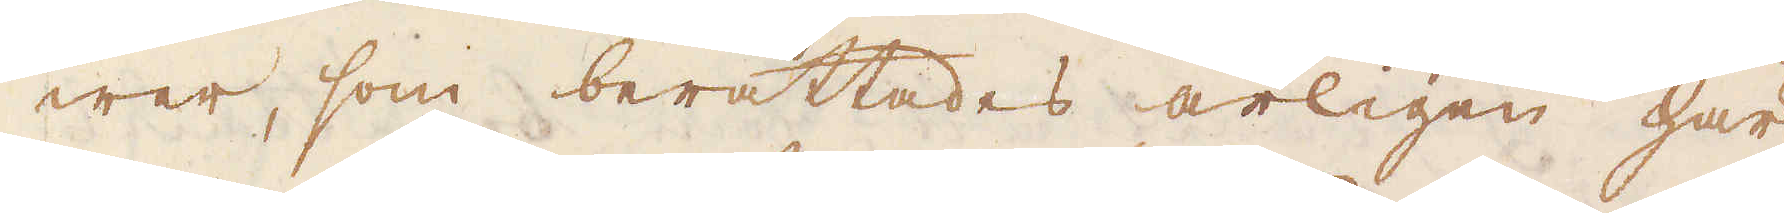wer, som berättades årligen här
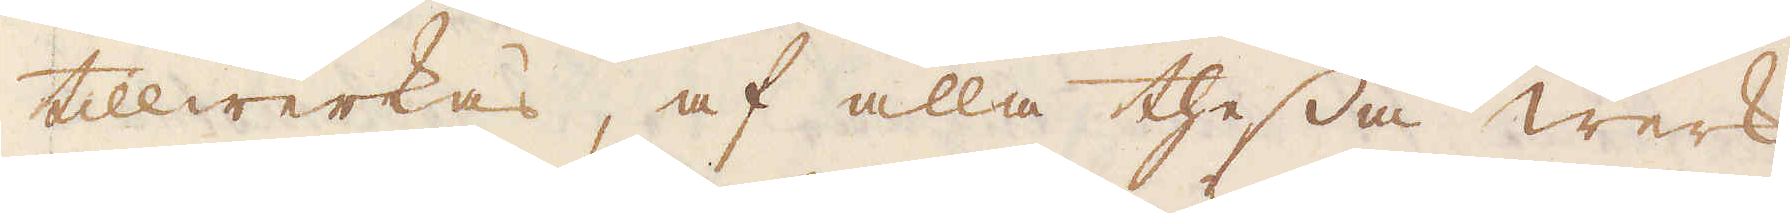tillwerkas, af alla thessa werk
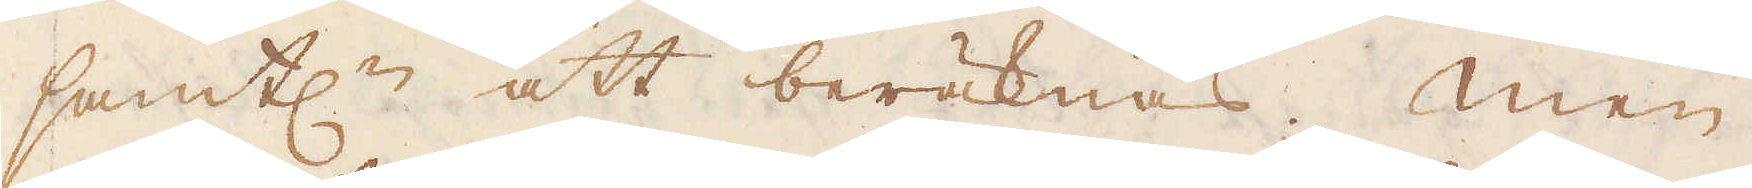samtl:n att beräknas. Men
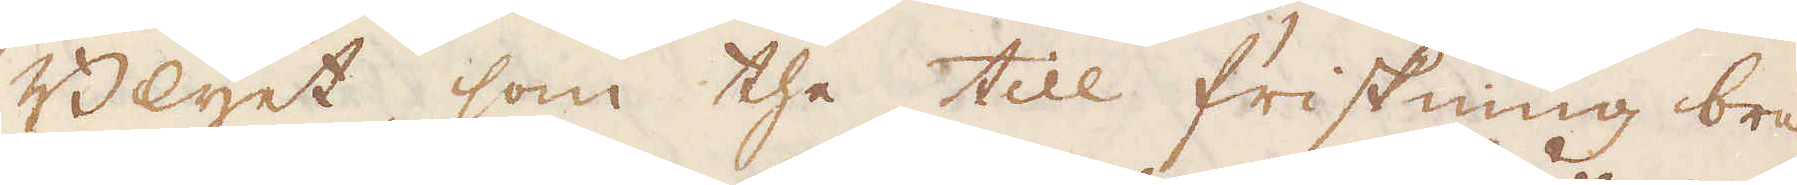Blyet, som the till friskning bru-
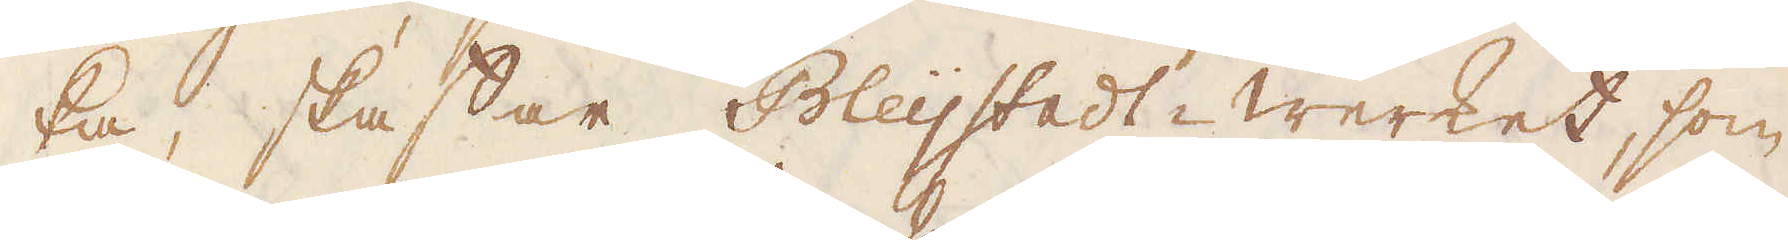ka, skaffar Bleijstadt werket, som
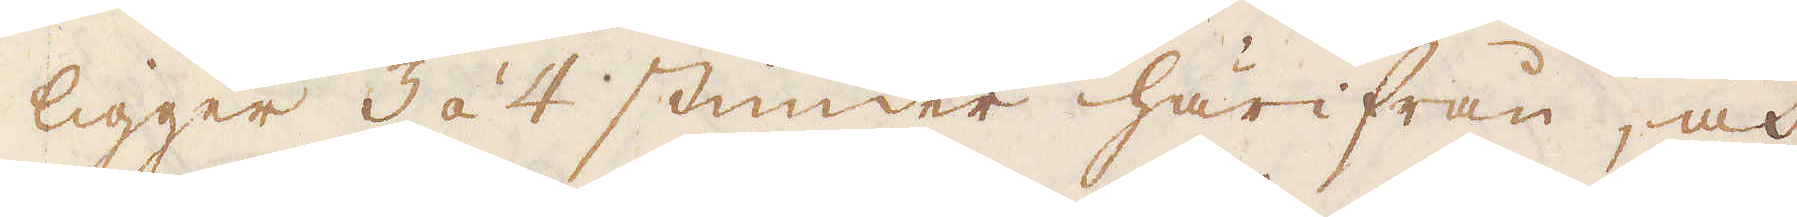ligger 3 á 4 stunder härifrån, och
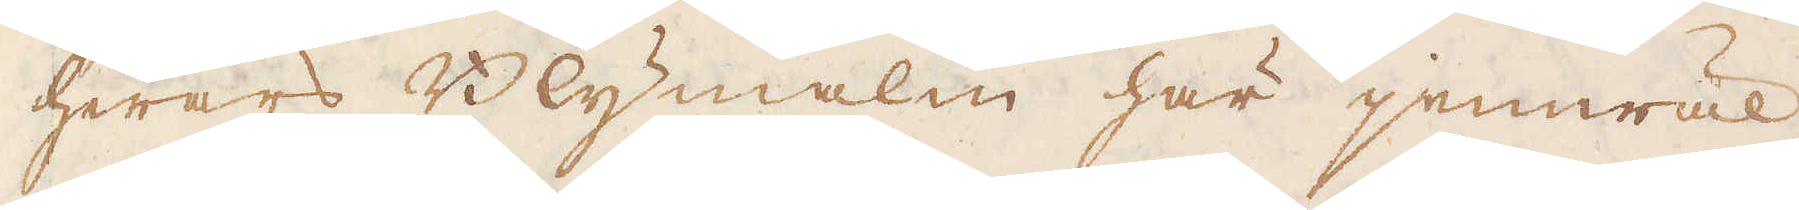hwars Blymalm här jemwäl
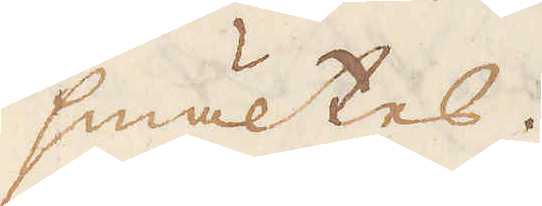smältes.
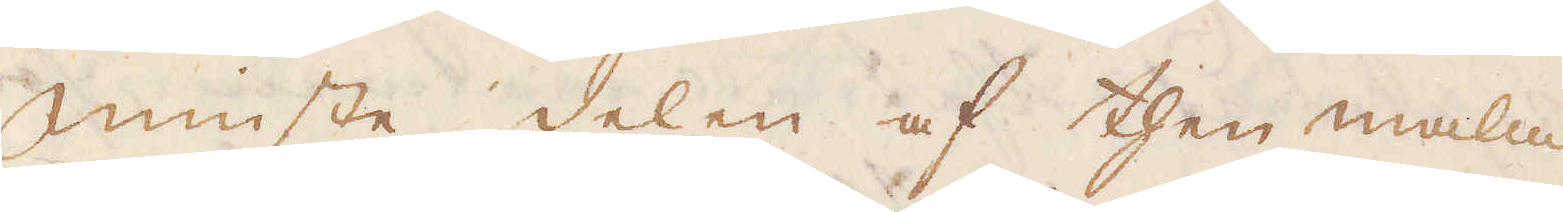Minste delen af then malm
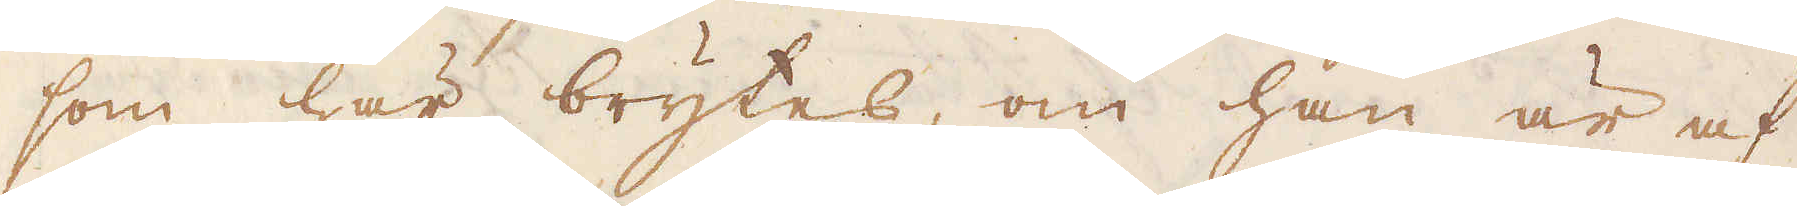som här brytes, om han är af
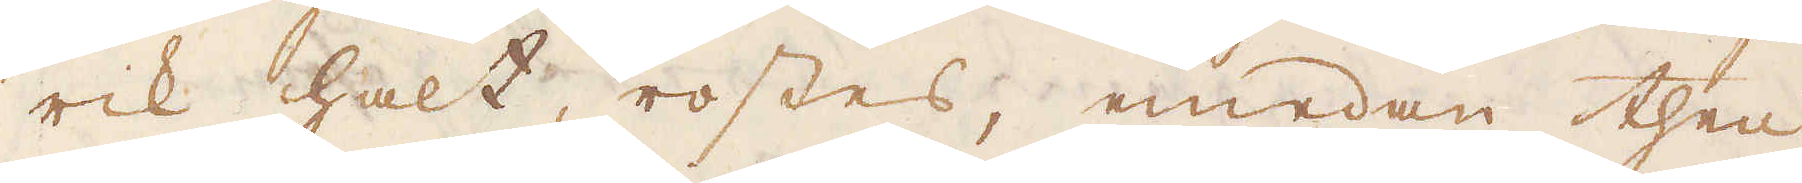rik halt, rostes, emedan then
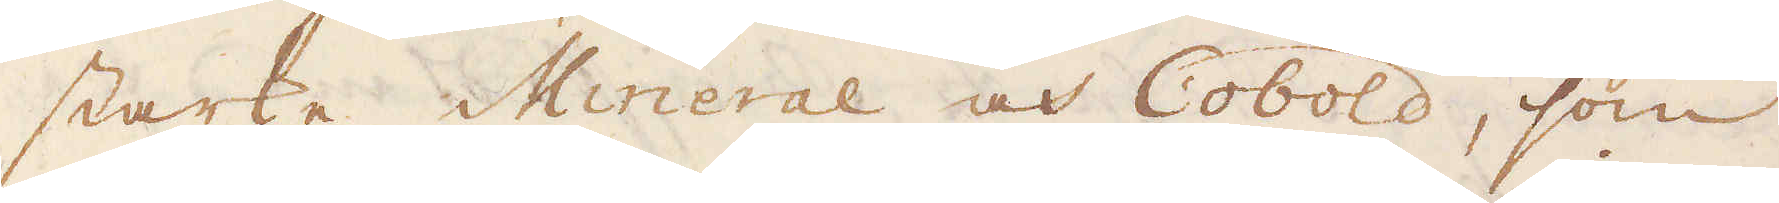starke Mineral och Cobold, som
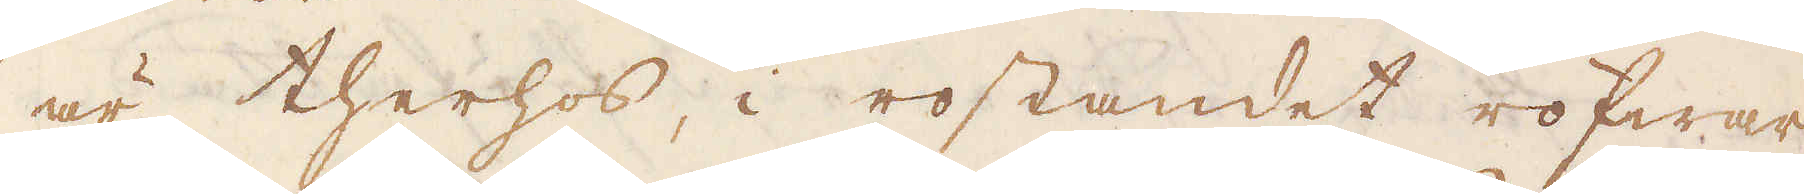är therhos, i rostandet röfwar
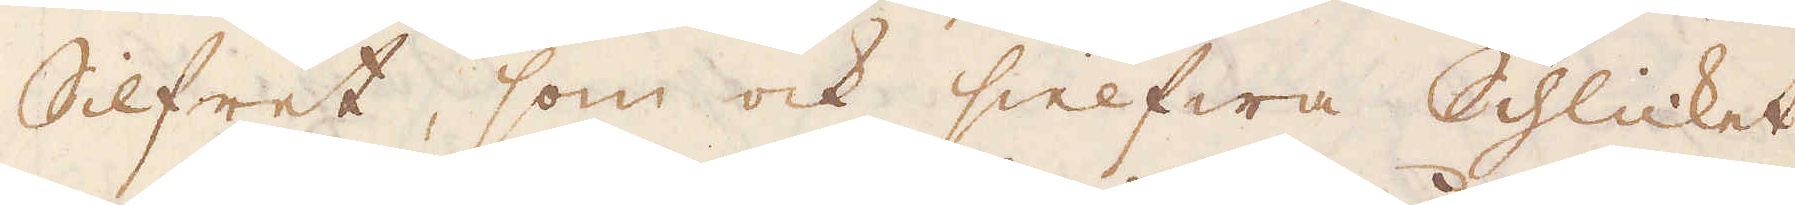Silfret, som ock sielfwa Schlicket,
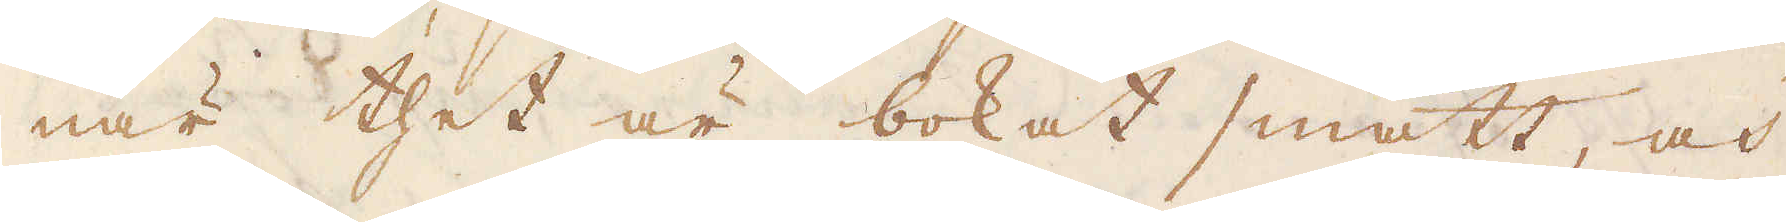när thet är bokat smått, och
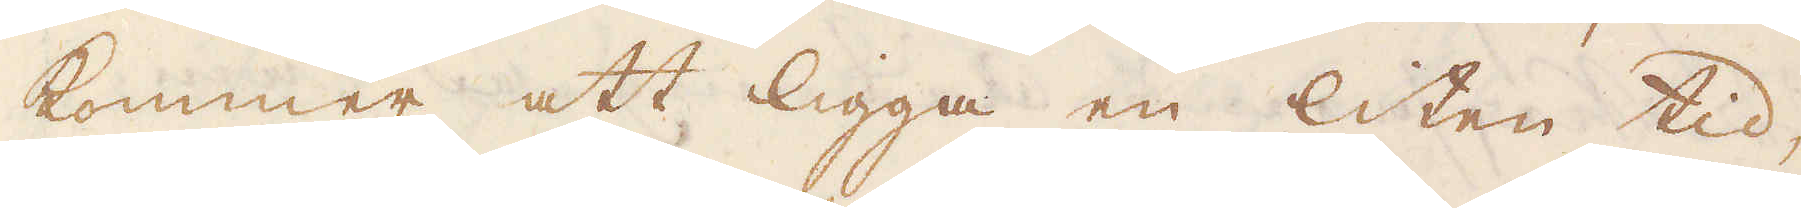kommer att ligga en liten tid,
